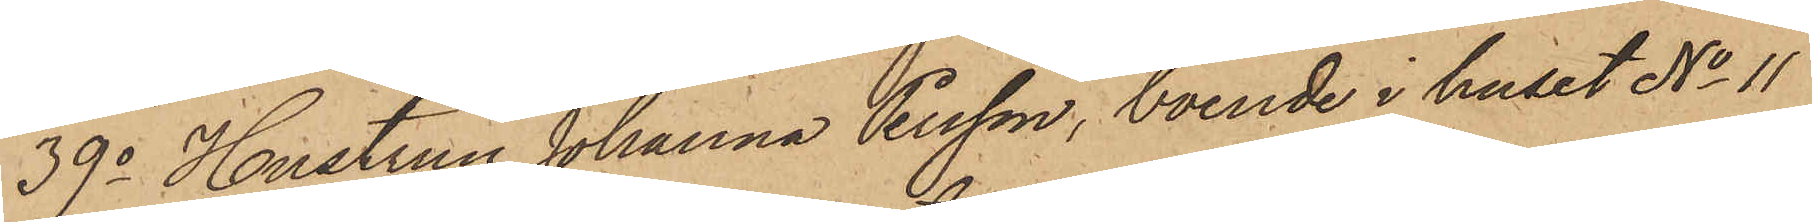39o Hustrun Johanna Persson, boende i huset No 11
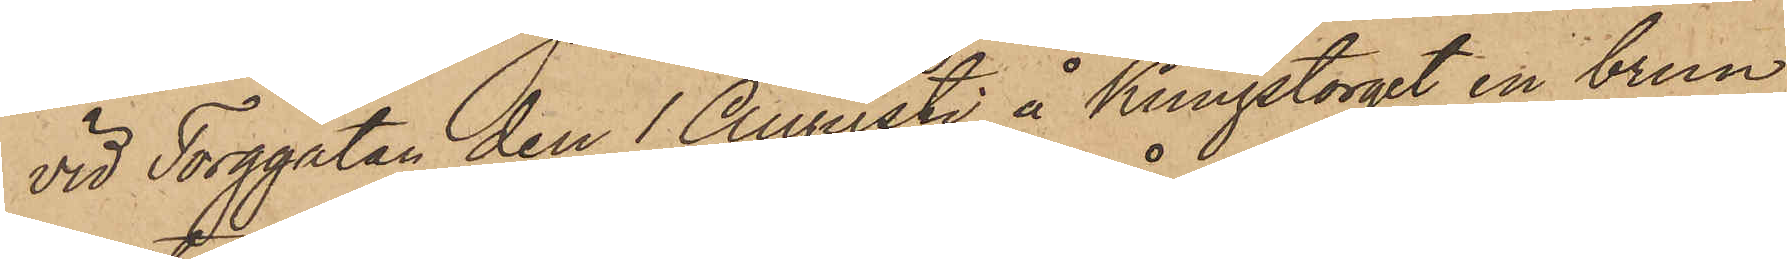vid Torggatan den 1 Augusti å Kungstorget en brun
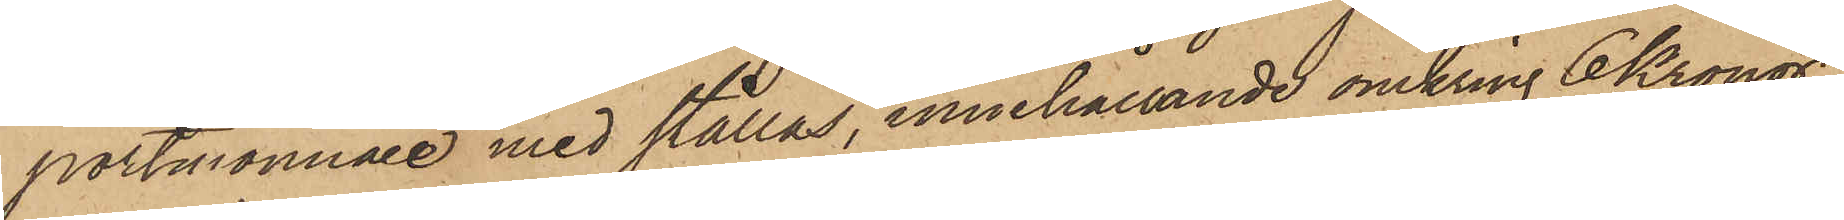portmonnaie med stållås, innehållande omkring 6 Kronor;
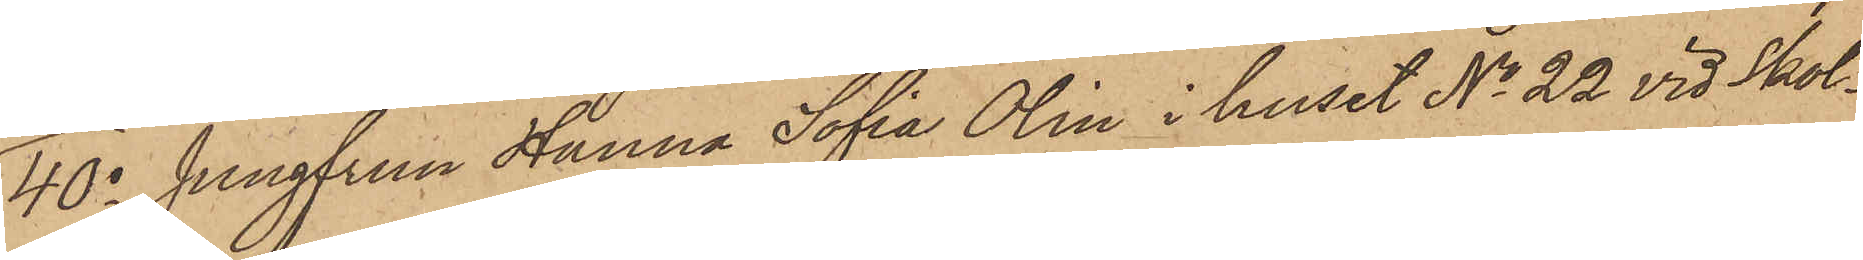40o Jungfrun Hanna Sofia Olin i huset No 22 vid Skol¬
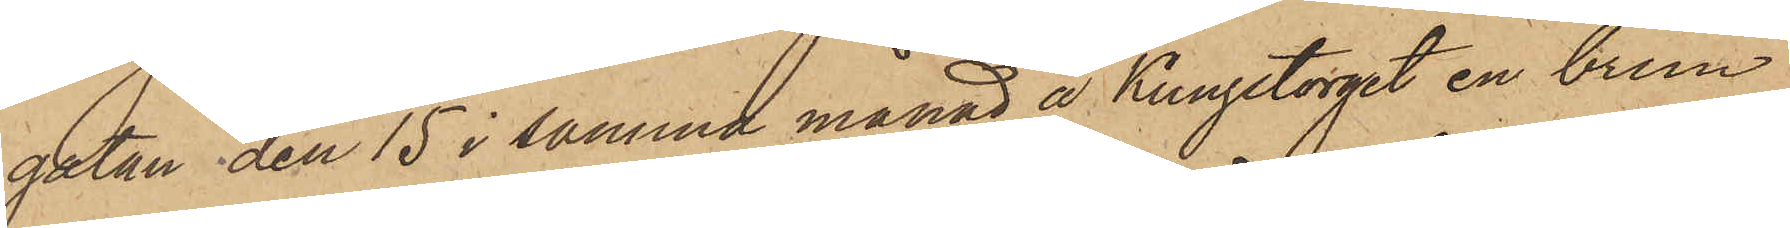gatan den 15 i samma månad å Kungstorget en brun
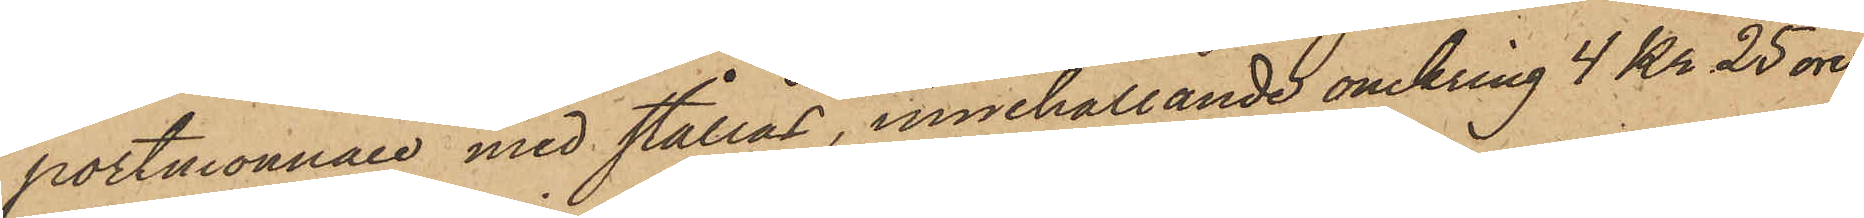portmonnaie med stållås, innehållande omkring 4 Kr 25 öre;
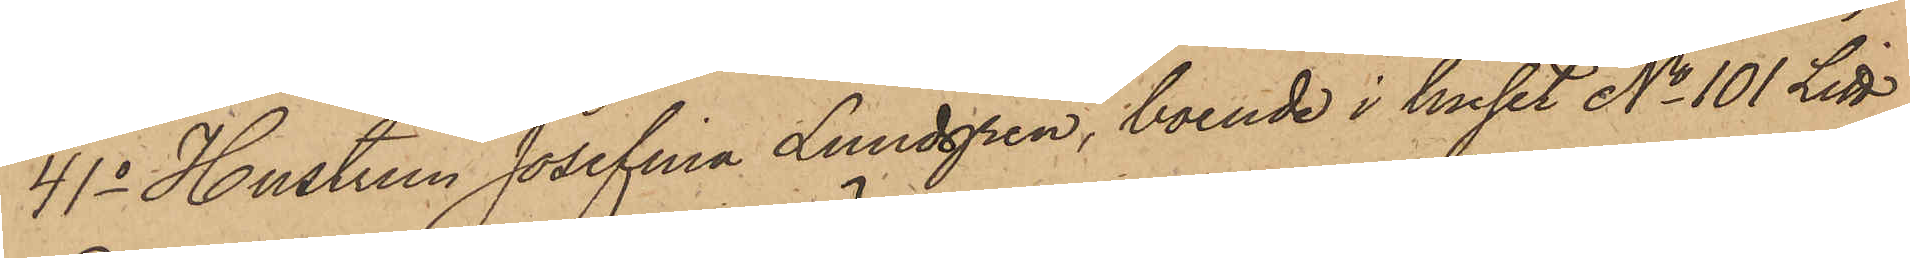41o Hustrun Josefina Lundgren, boende i huset No 101 Litt
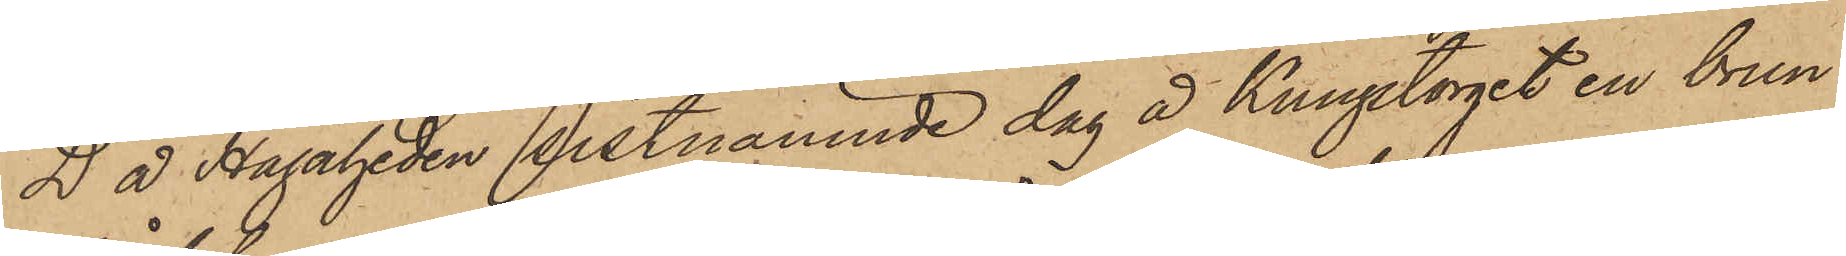D å Hagaheden sistnämnde dag å Kungstorget en brun
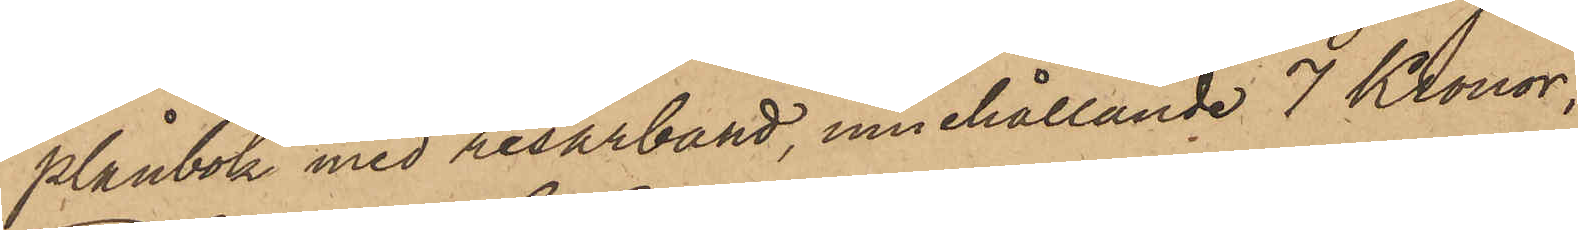plånbok med resårband, innehållande 7 Kronor;
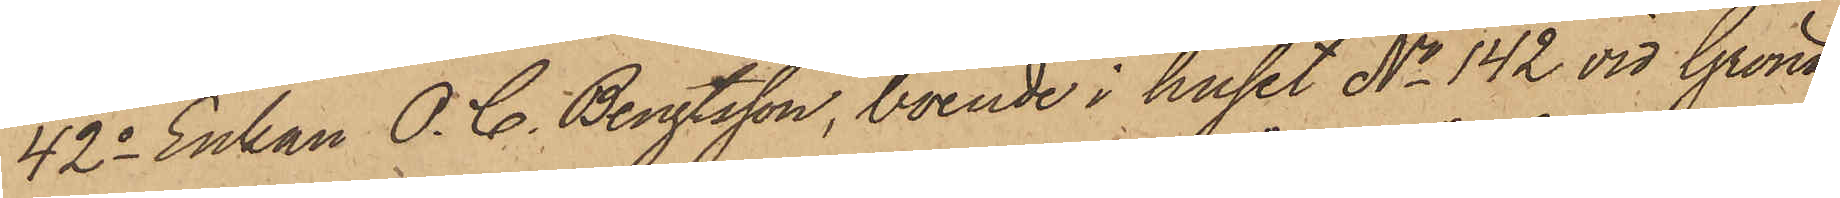42o Enkan O. C. Bengtsson, boende i huset No 142 vid Gröna
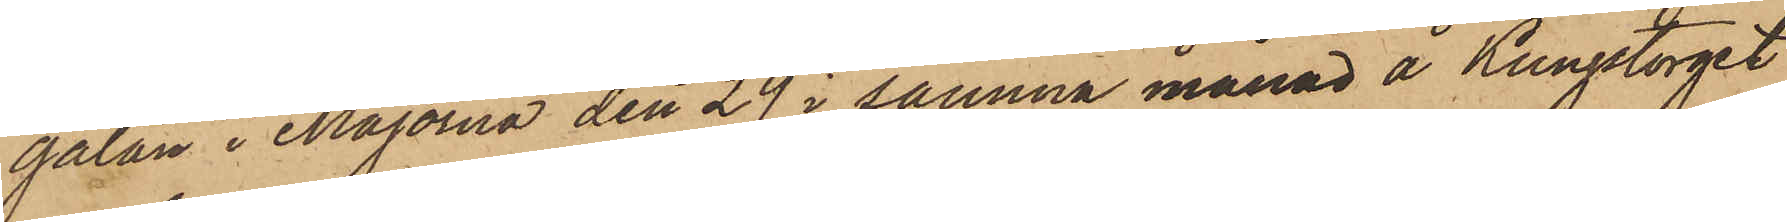gatan i Majorna den 29 i samma månad å Kungstorget
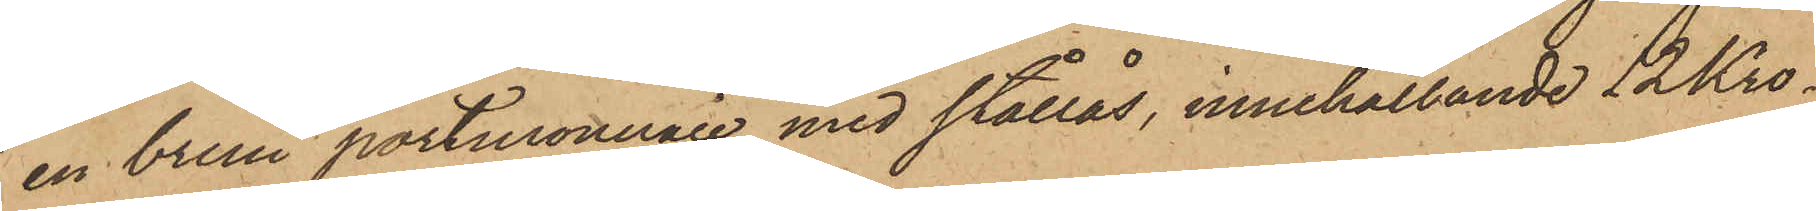en brun portmonnaie med stållås, innehållande 12 Kro¬
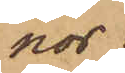nor;
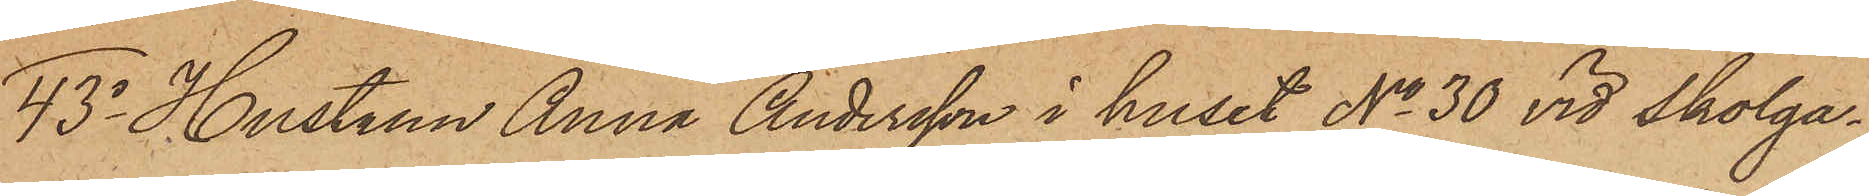43o Hustrun Anna Andersson i huset No 30 vid Skolga¬
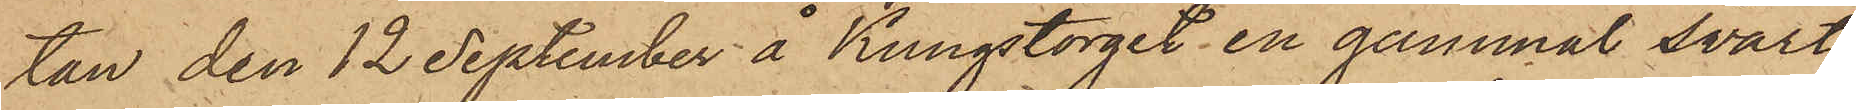tan den 12 September å Kungstorget en gammal svart
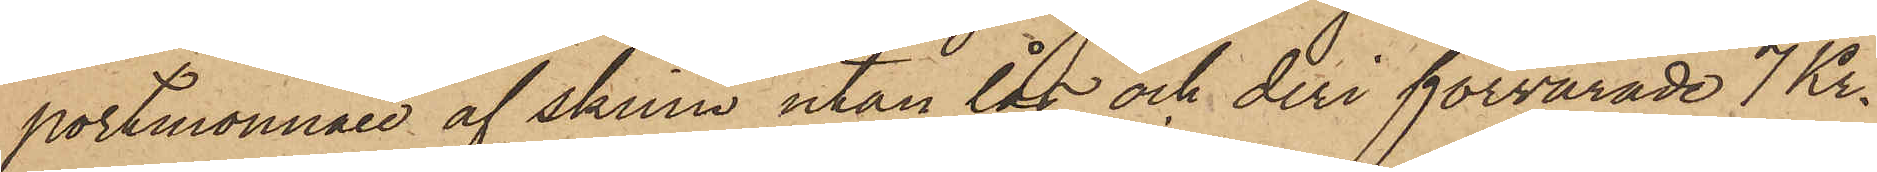portmonnaie af skinn utan lås och deri förvarade 7 Kr.
